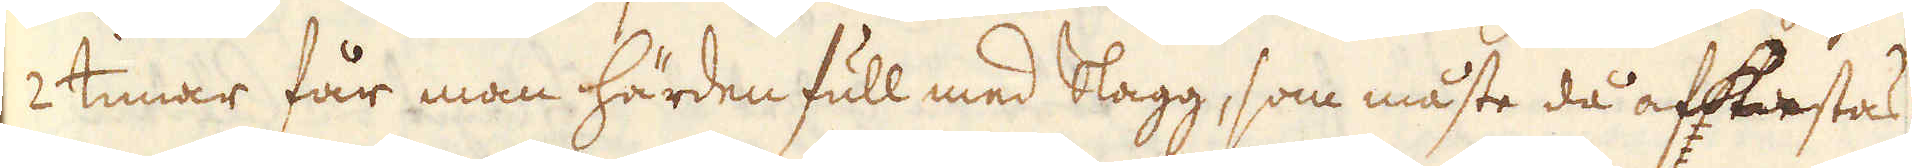2 timar får man härden full med Slagg, som måste då afkiestas
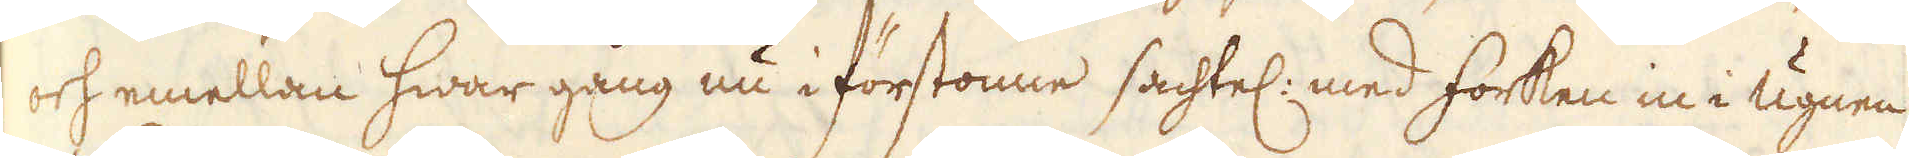och emellan hwar gång nu i förstonne sachtel: med forken in i ugnen
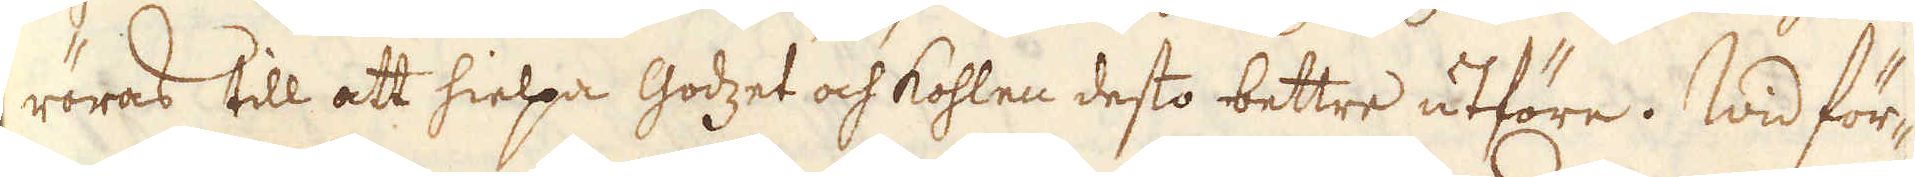röras till att hielpa Godzet och kohlen desto bettre utföre. Wid för-
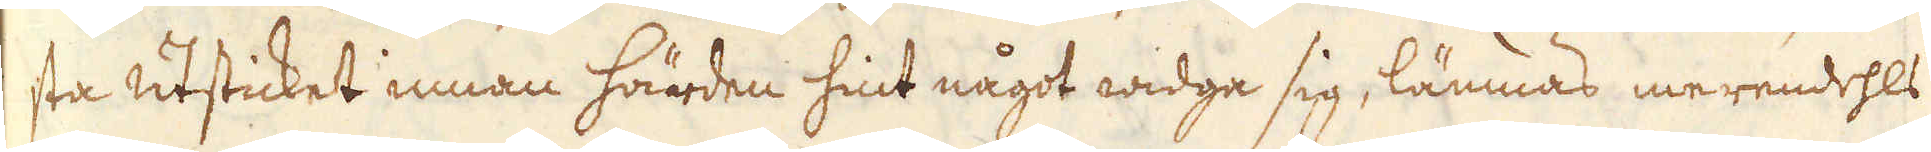sta utsticket innan härden hint något widga sig, lämnas merendehls
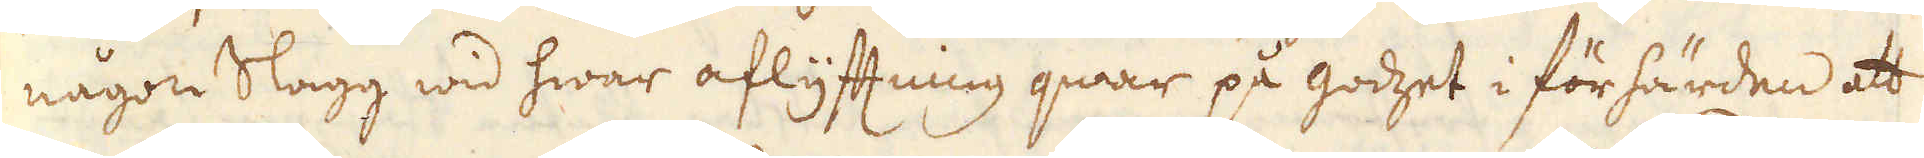någon Slagg wid hwar aflyftning qwar på godzet i förhärden att
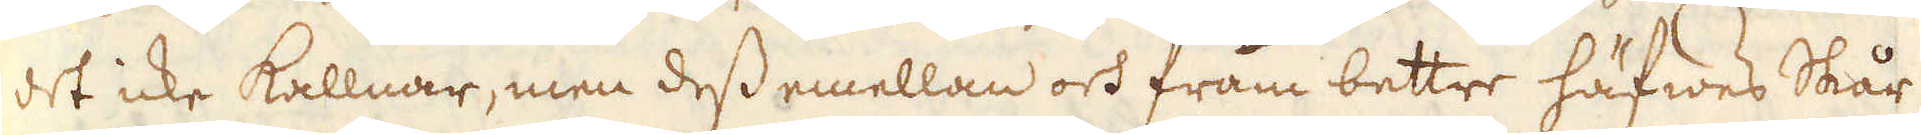det icke kallnar, men dess emellan och fram bettre häfwes Skår-
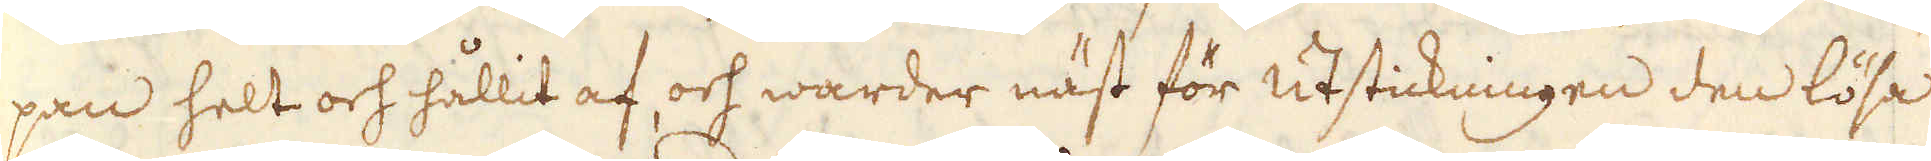pan helt och hållit af och warder näst för utstickningen den lösa
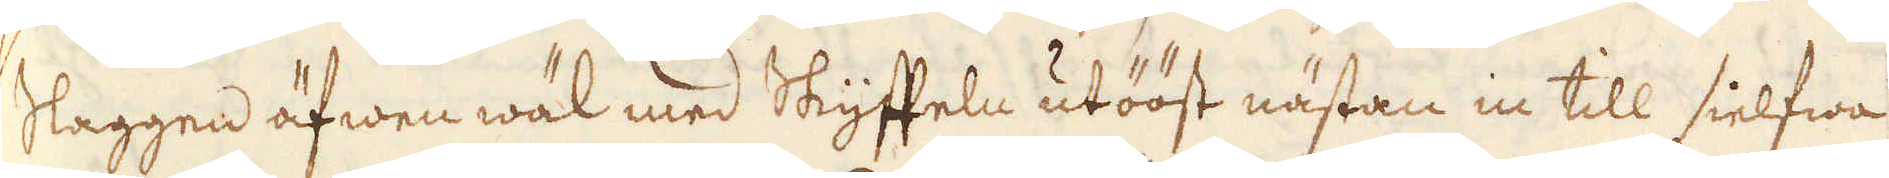slaggen äfwen wäl med Skyffeln utööst nästan in till sielfwa
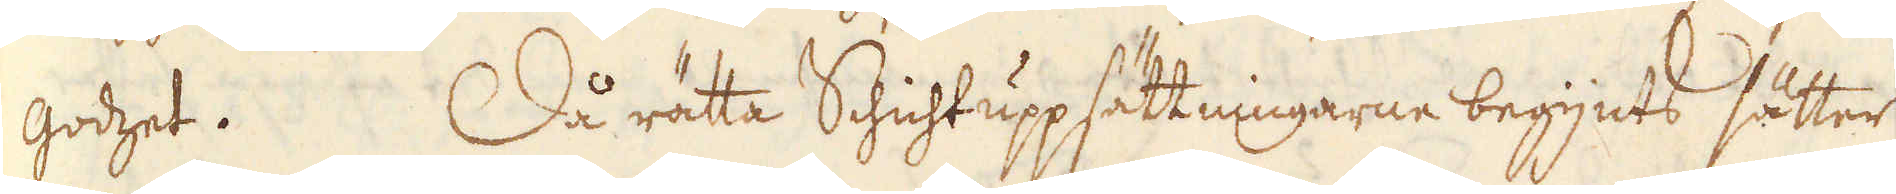godzet. Då rätta Schichtuppsättningarne begynts sätter
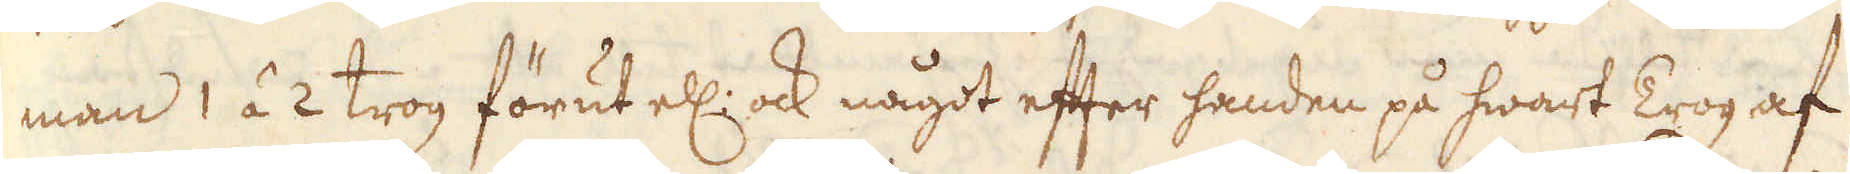man 1 á 2 trog förut ell: ock något efter handen på hwart Trog af
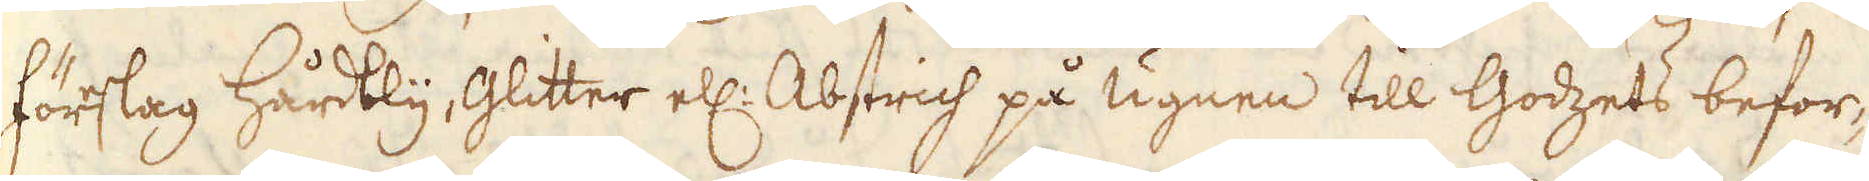föreslag Hårdbly Glitter ell: Abstrich på ugnen till Godzets befor-
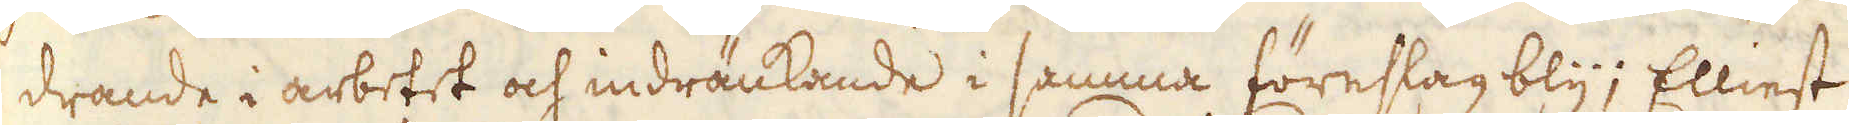drande i arbetet och indränkande i samma föreslag bly; Elliest
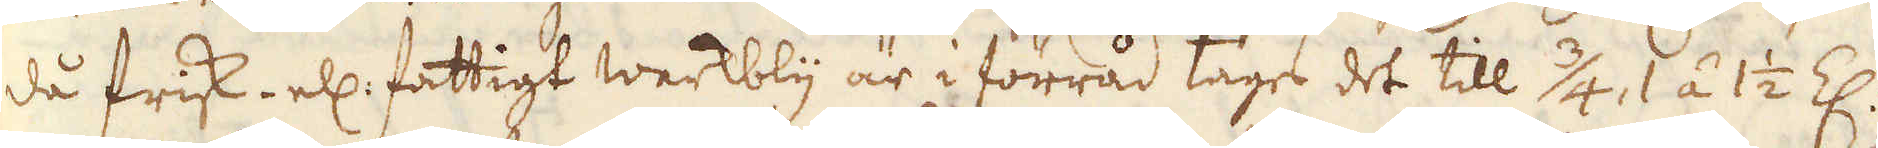då frisk- ell: fattigt werkbly är i förråd tages det till 3/4, 1 á 1 1/2 Z:
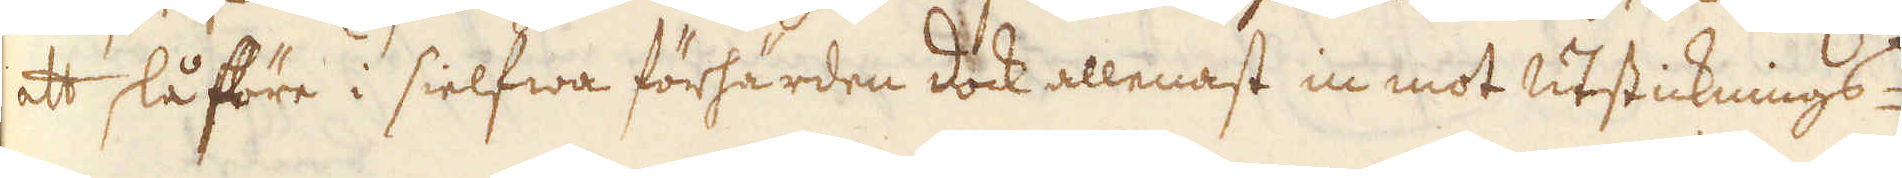att slå före i sielfwa förhärden dock allenast in mot utsticknings-
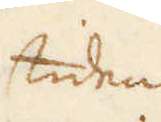tiden
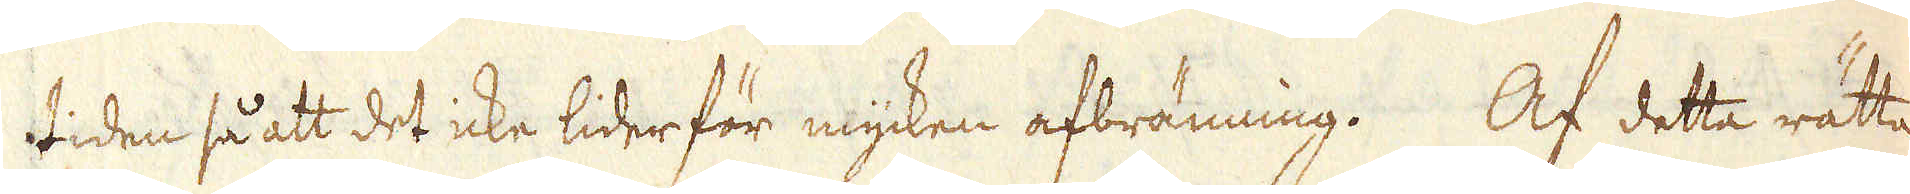tiden så att det icke lider för mycken afbränning. Af detta rätta
